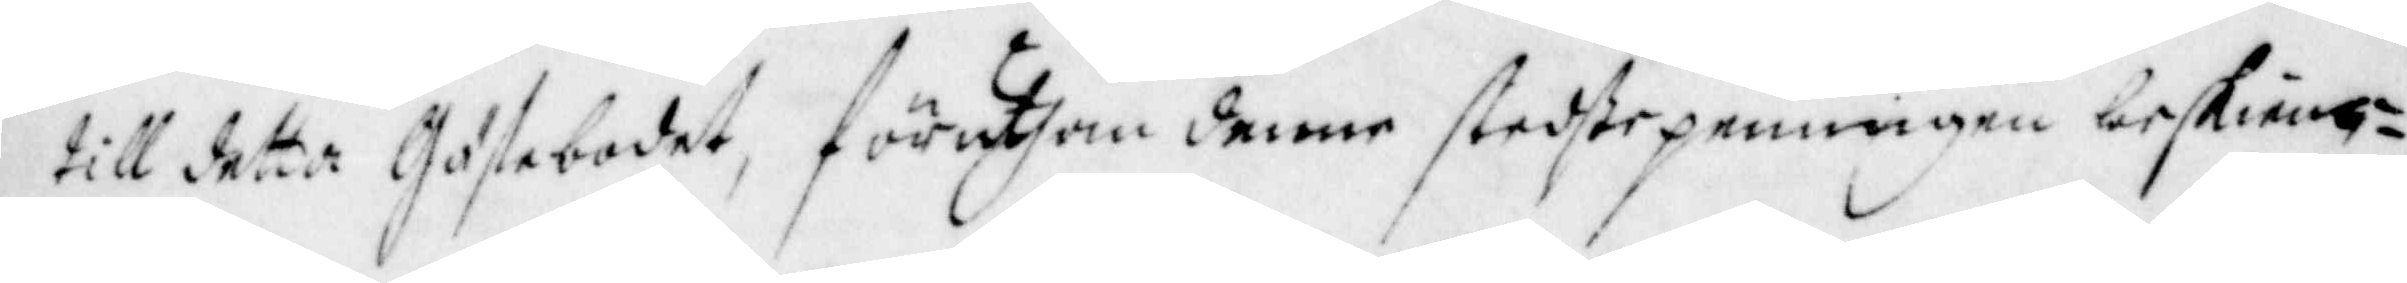till detta Gästebodet, föruthom denne stedste penningen beskieng¬
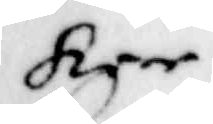ker
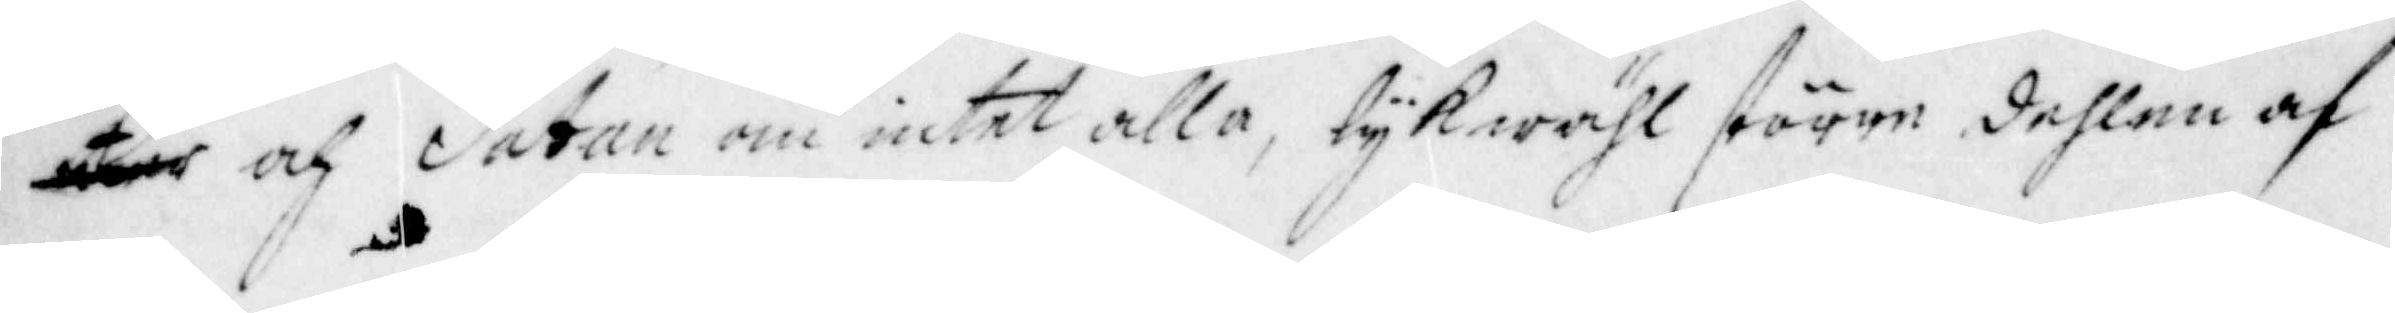och Satan om intet alla, lykwähl större dehlen af
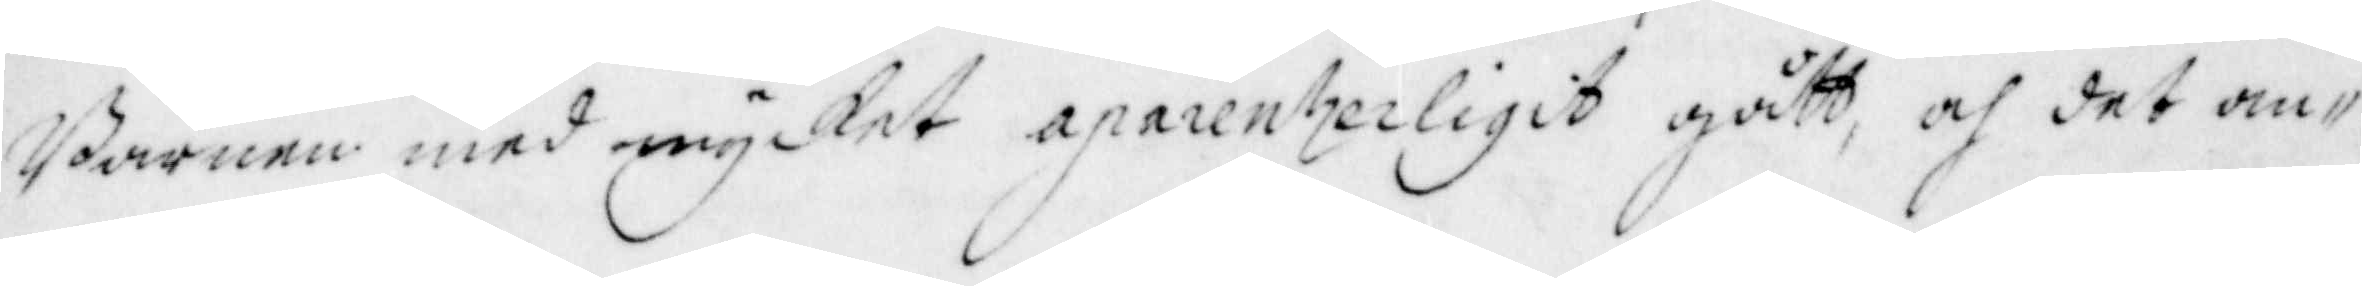Barnen med mycket aparenterligit gått, och det an¬
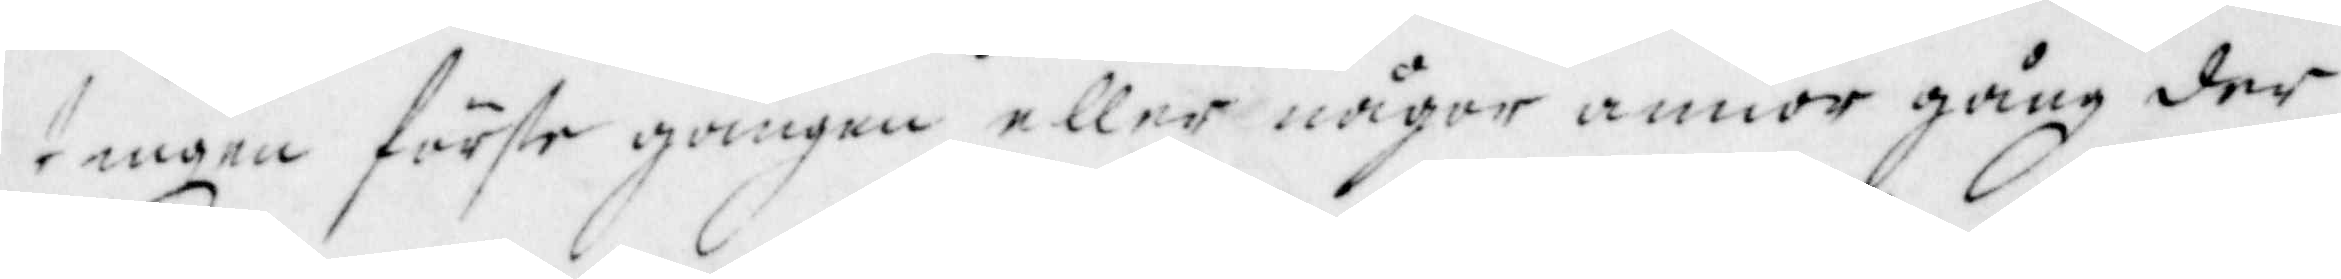tingen förste gången eller någor annor gång der
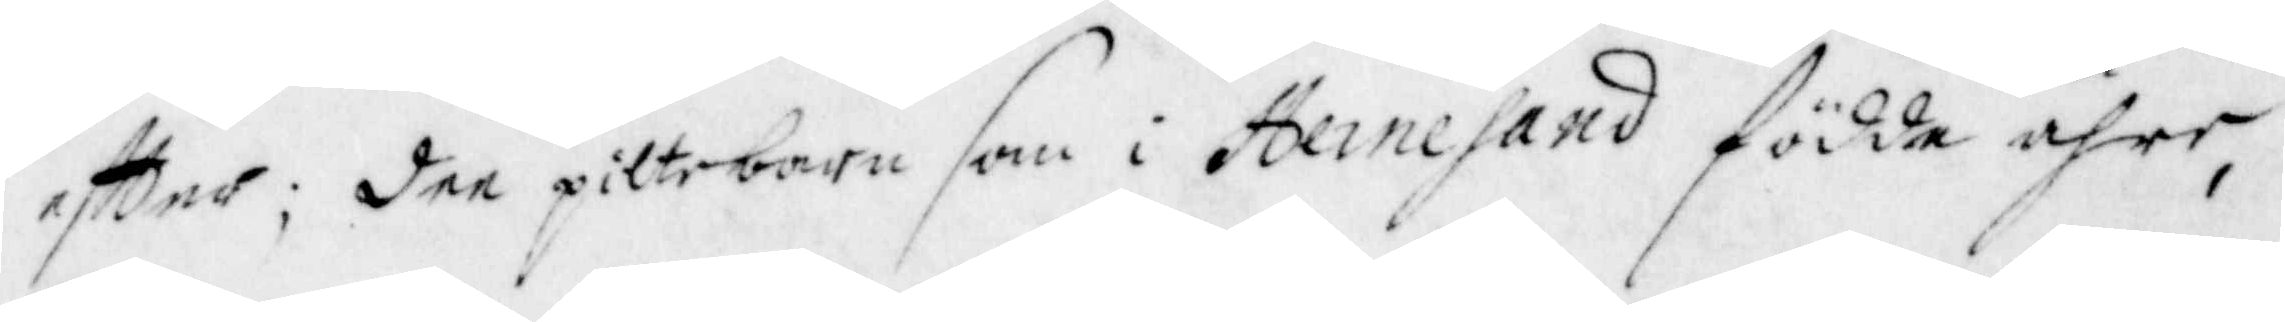eftter; dee piltebarn som i Hernesand födde ähre,
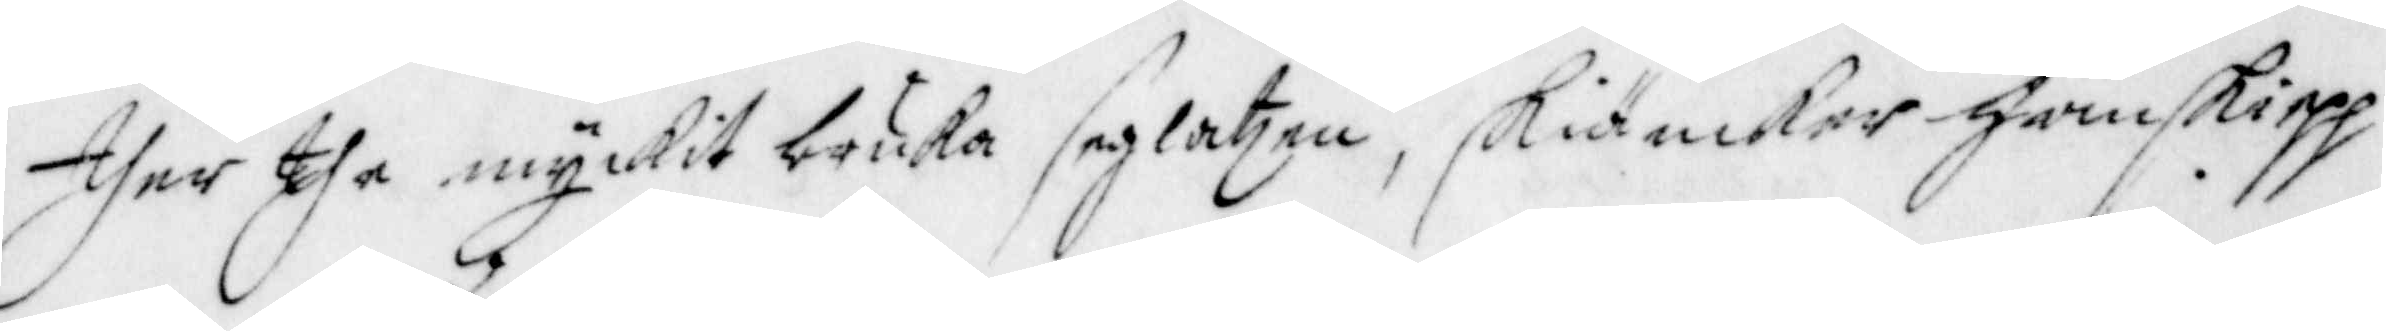ther the myckit bruka seglatzen, skiänker Han skiepp
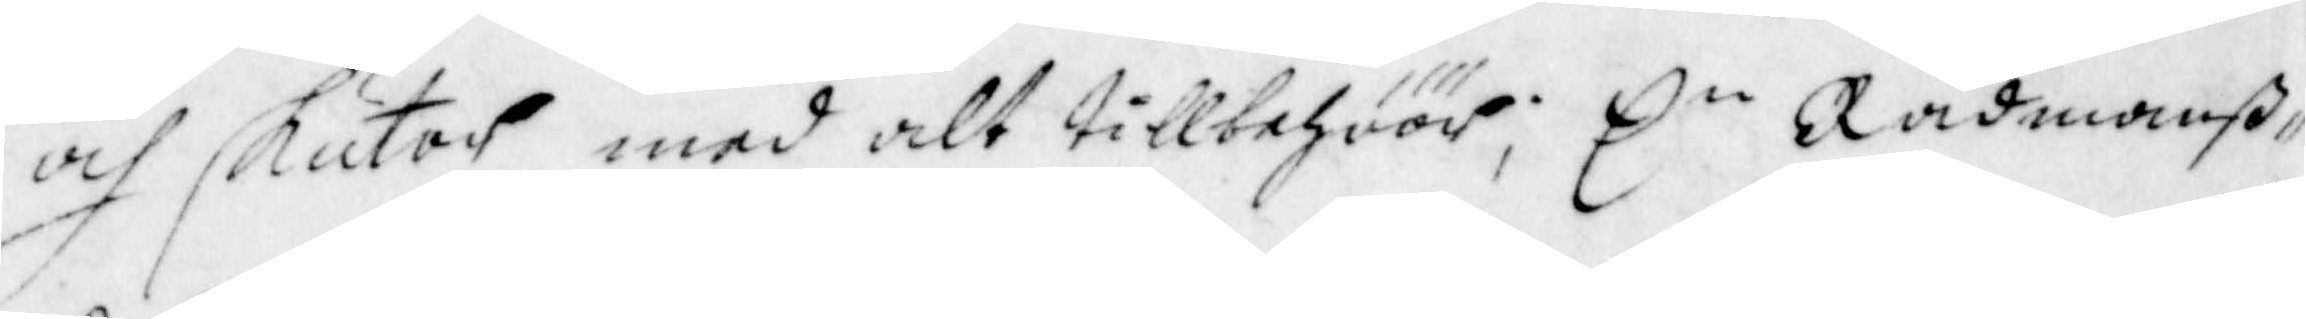och skutor med alt tillbehöör; En Rådmanß¬ 
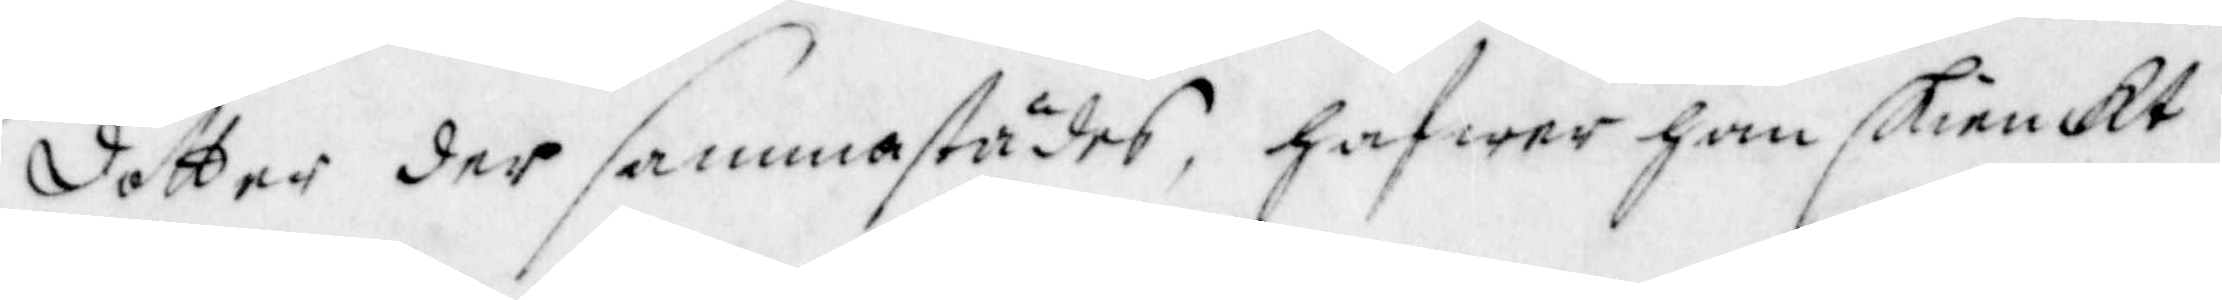dotter der sammastädes, hafwer han skienckt
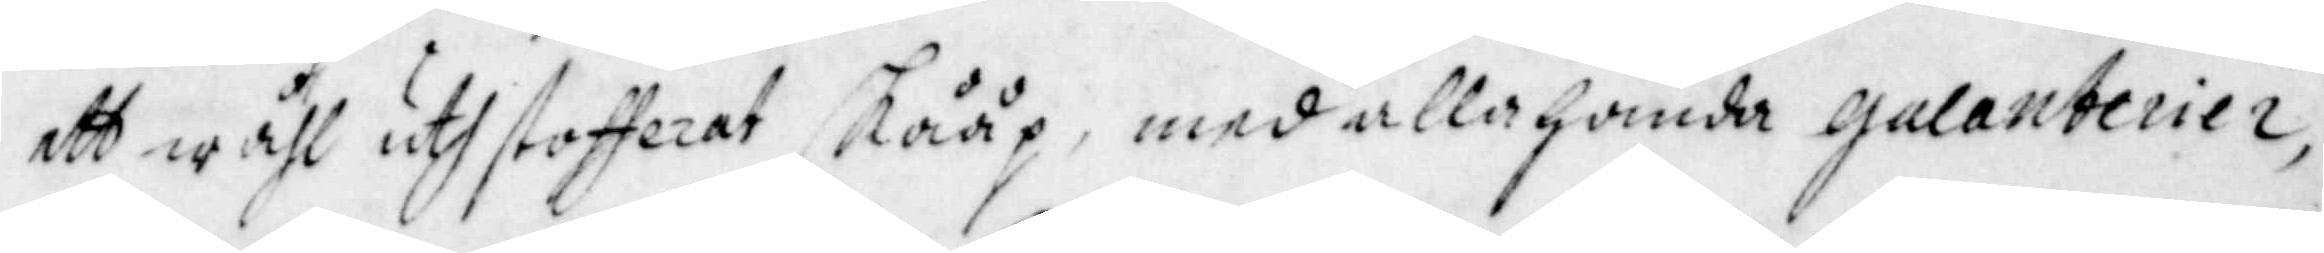att wähl uthstofferat skååp, med allahanda gulanterier,
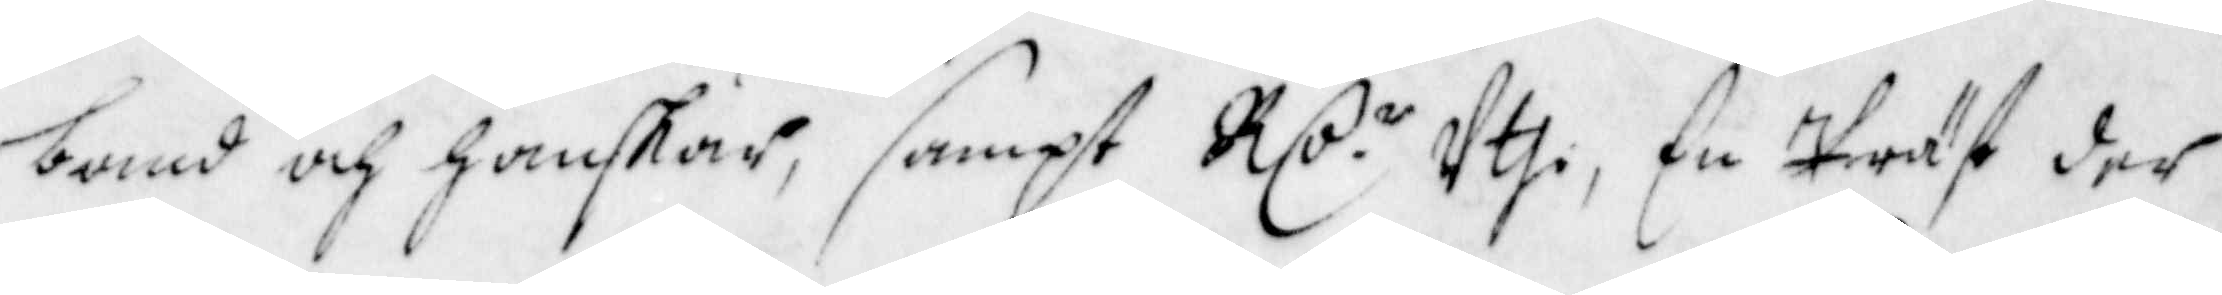band och hanskar, sampt Rs:r Uthi, En Präst der 
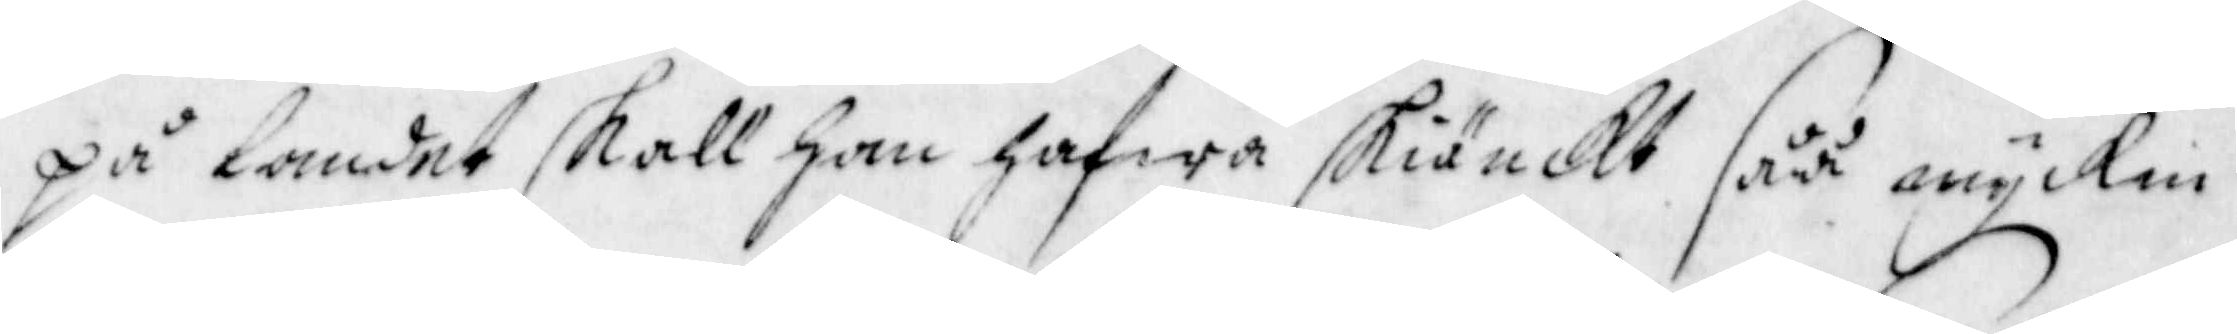på landet skall han hafwa skiänckt såå myckin
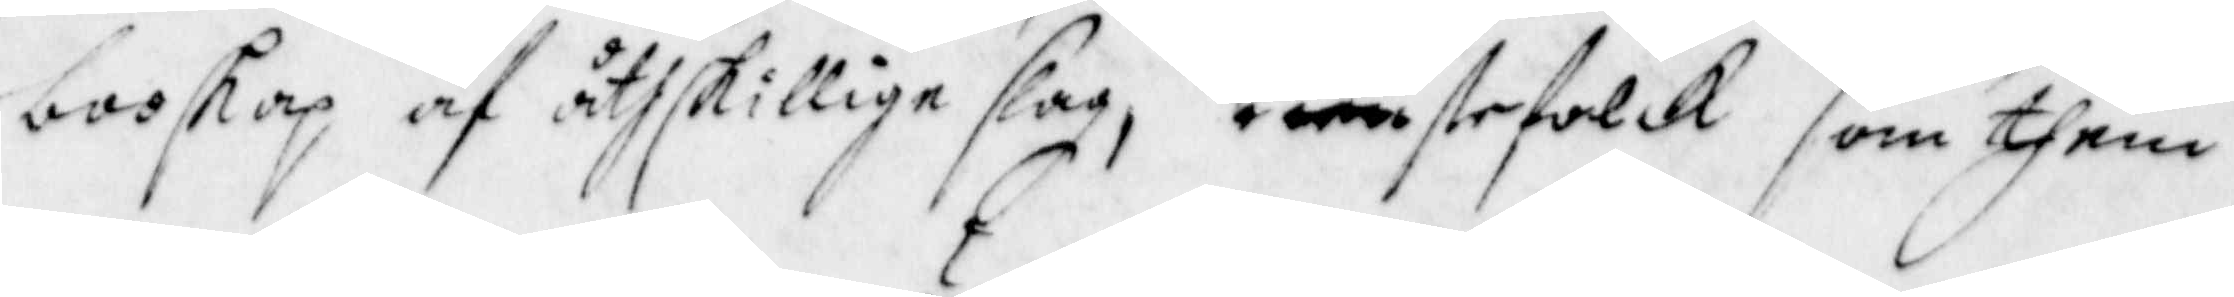booskap af åthskillige slag, tienstefolck som them
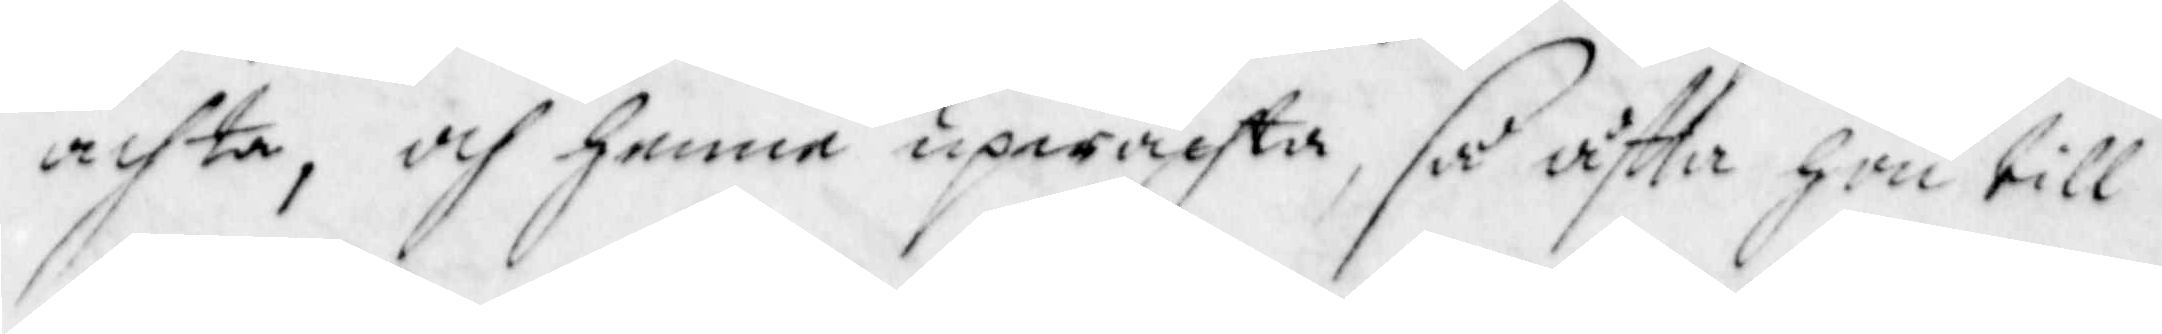achta, och henne upwachta, så åftta hon till
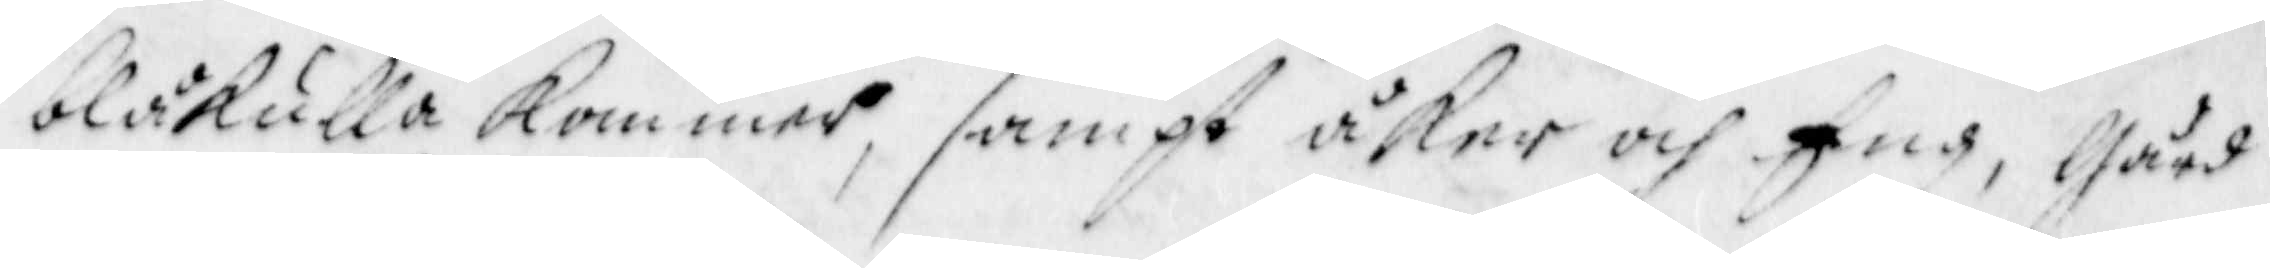blåkulla kommer, sampt åker och Eng, gård
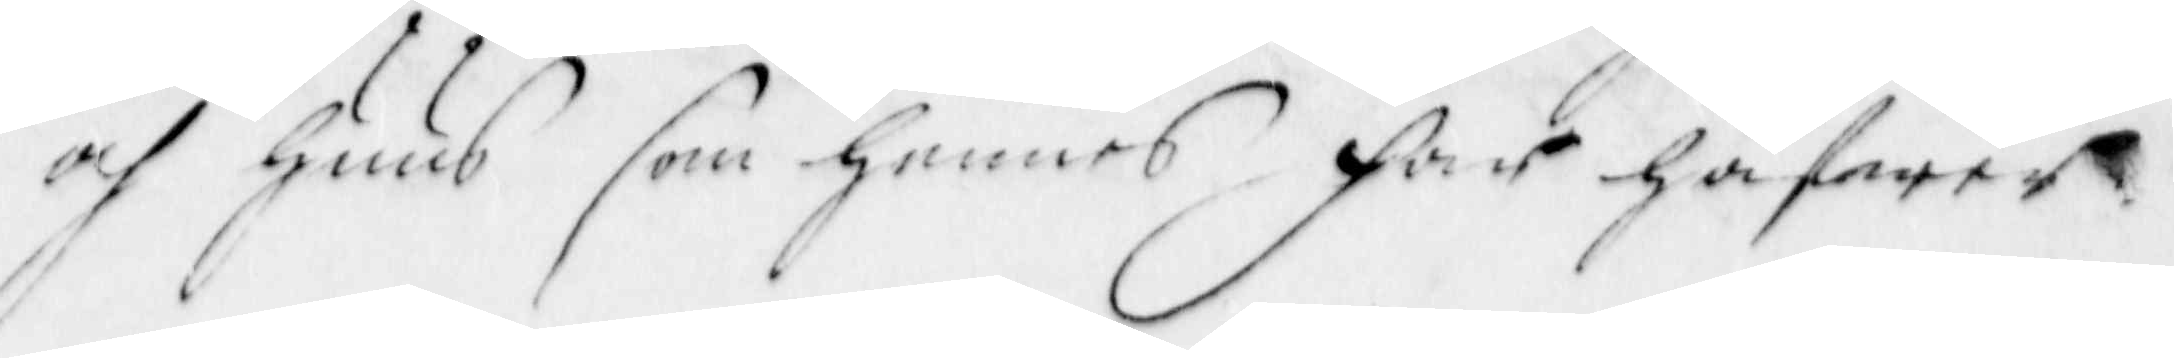och Huus som hennes far hafwer
